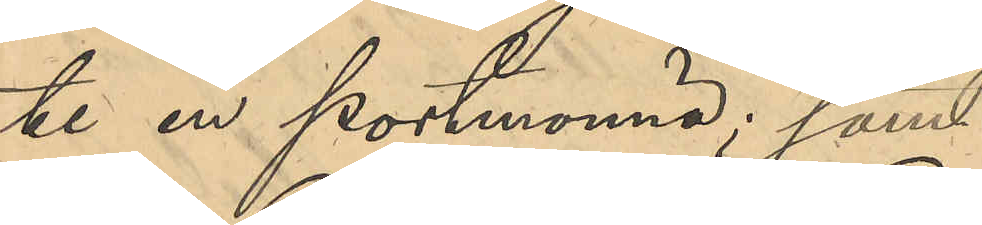te en portmonnä; samt
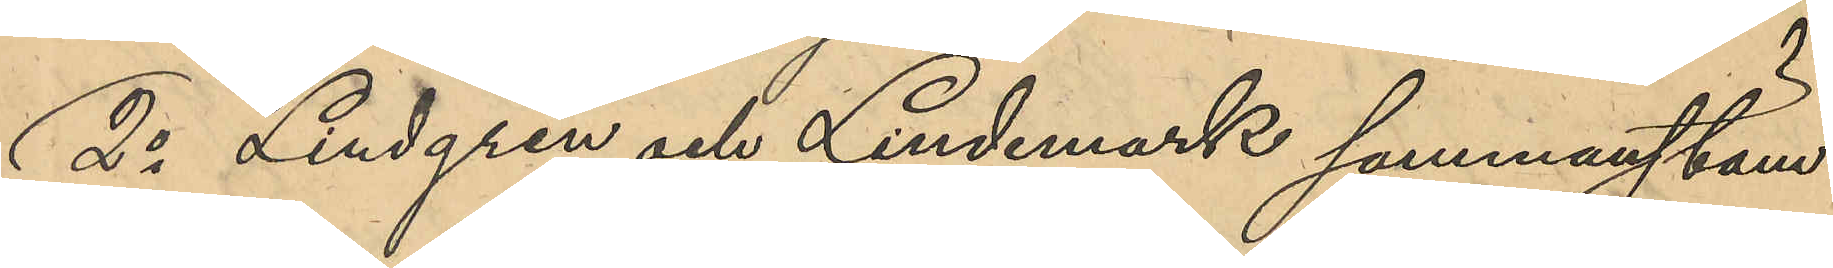2o Lindgren och Lindemark sammanstäm¬
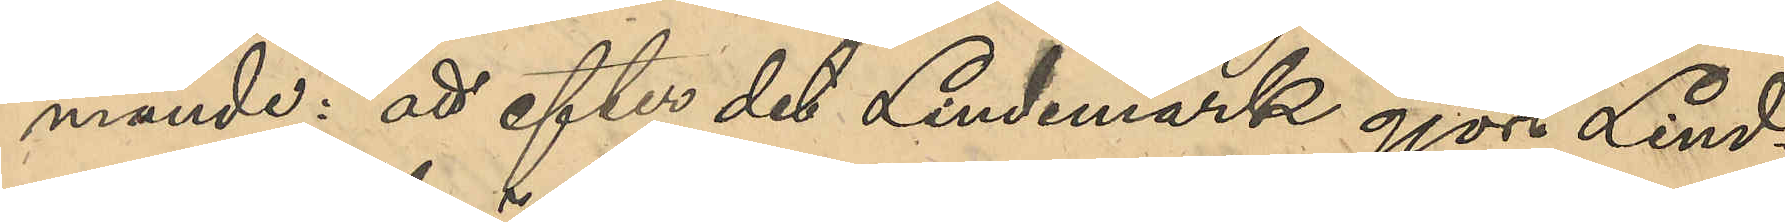mande: att efter det Lindemark gjort Lind¬
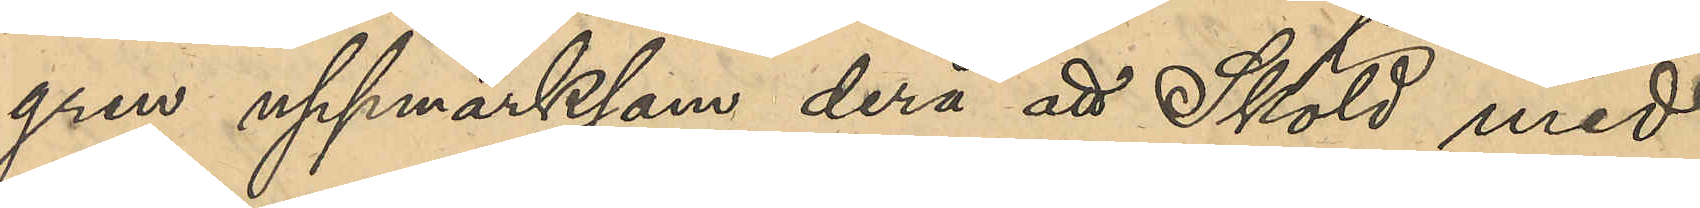gren uppmärksam derå att Sköld med
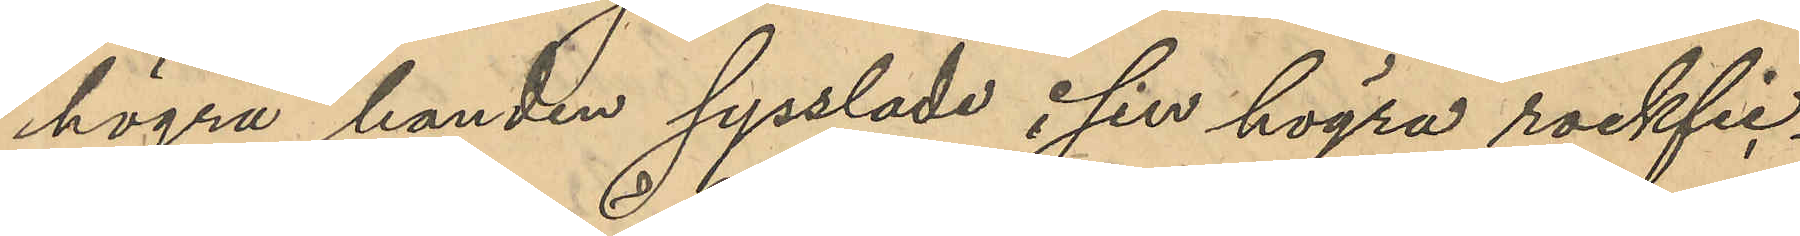högra handen sysslade i sin högra rockfic¬
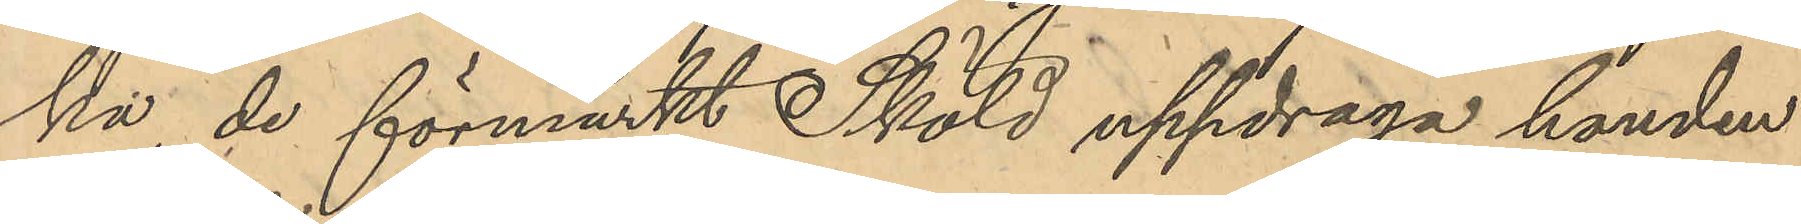ka, de förmärkt Sköld uppdraga handen
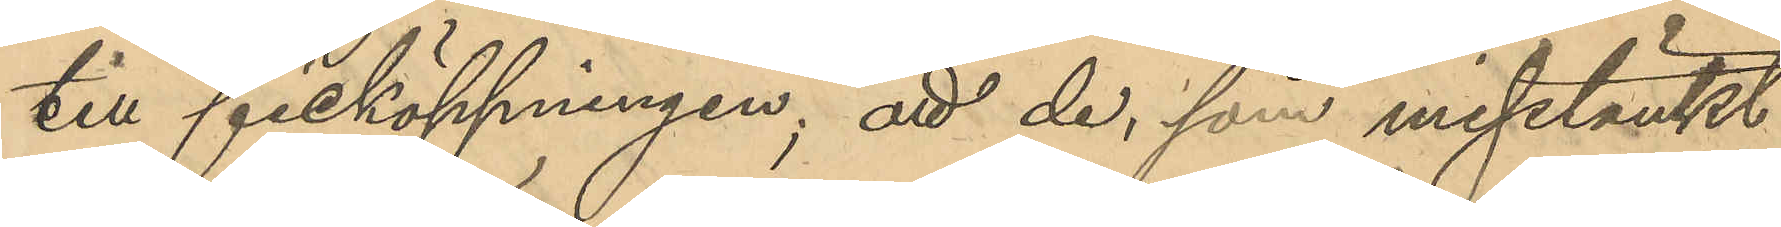till ficköppningen; att de, som misstänkt
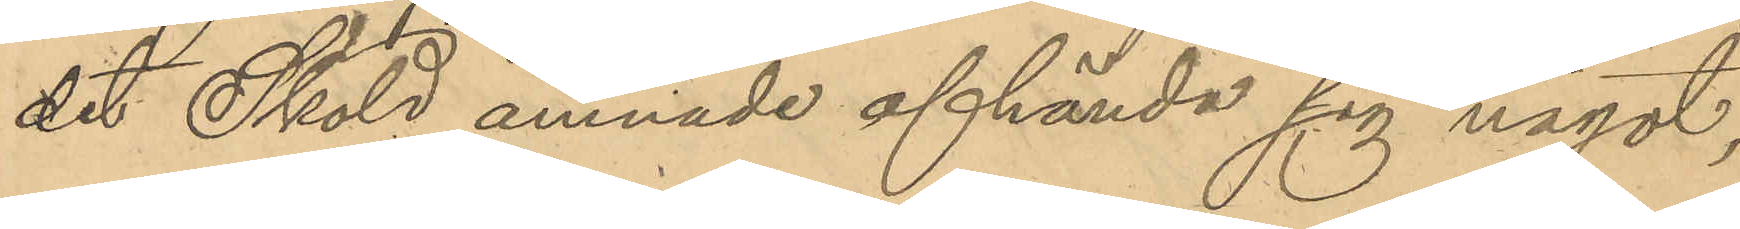det Sköld ämnade afhända sig något,
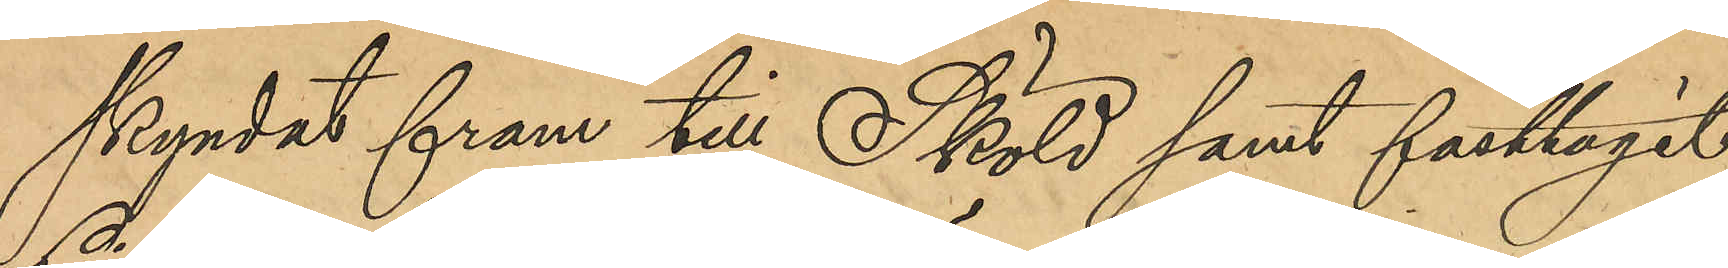skyndat fram till Sköld samt fasttagit,
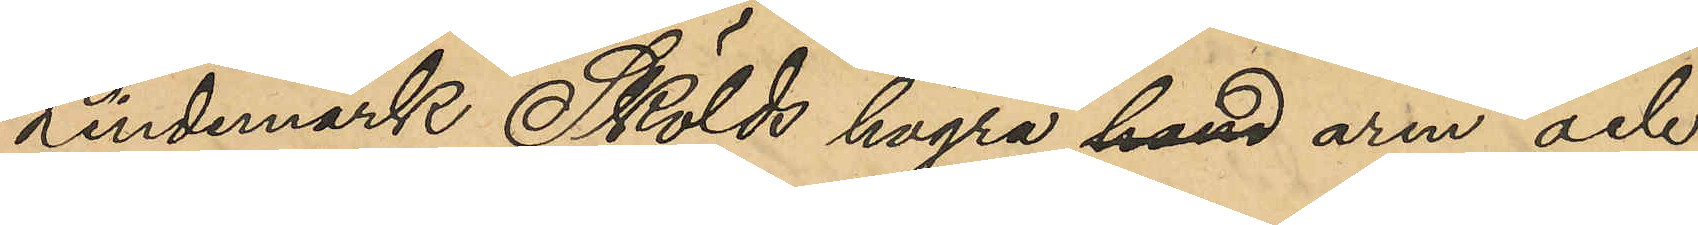Lindemark Skölds högra hand arm och
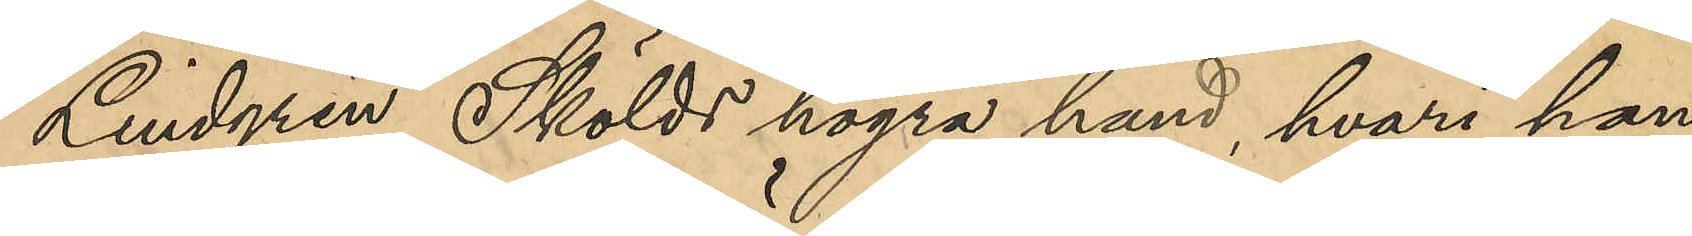Lindgren Skölds högra hand, hvari han
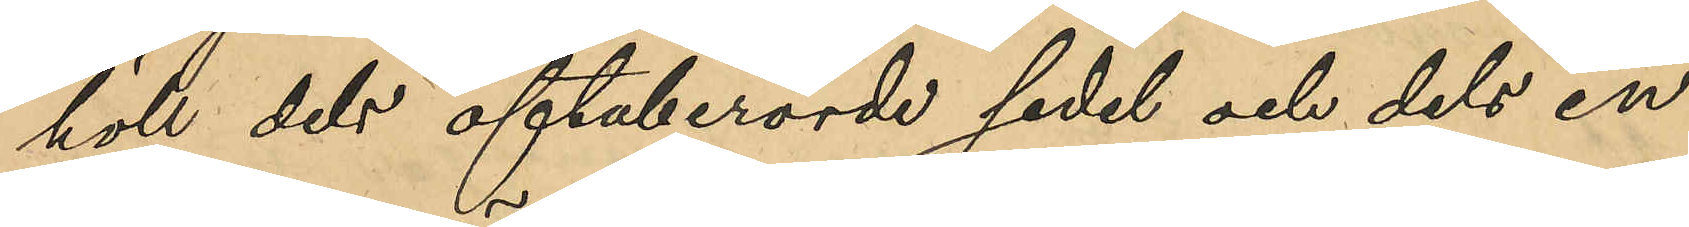höll det oftaberörde sedel och dels en
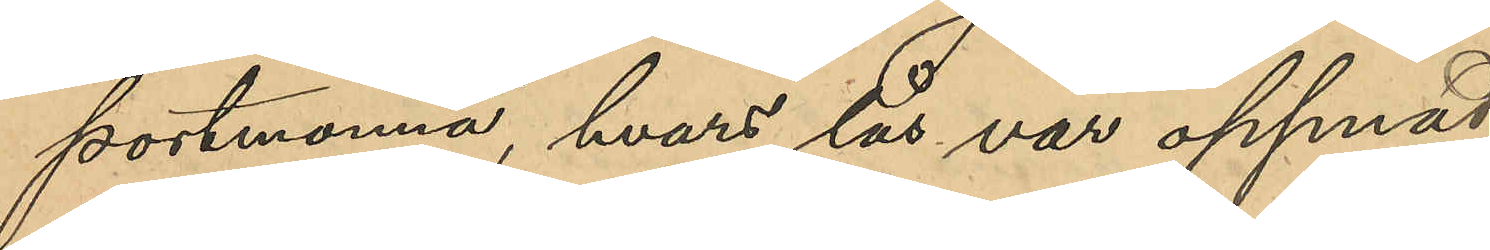portmonnä, hvars lås var öppnat.
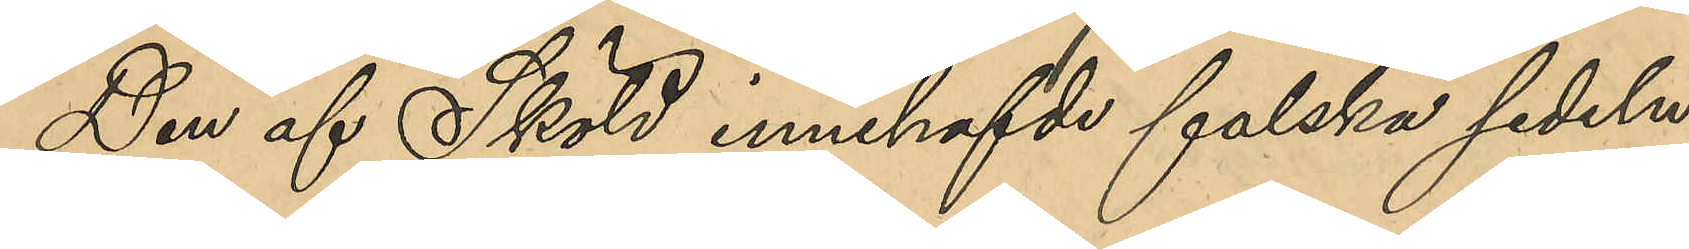Den af Sköld innehafde falska sedeln
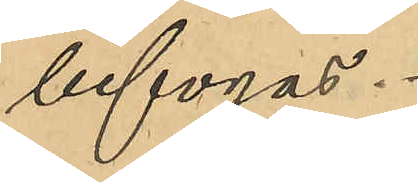bifogas.
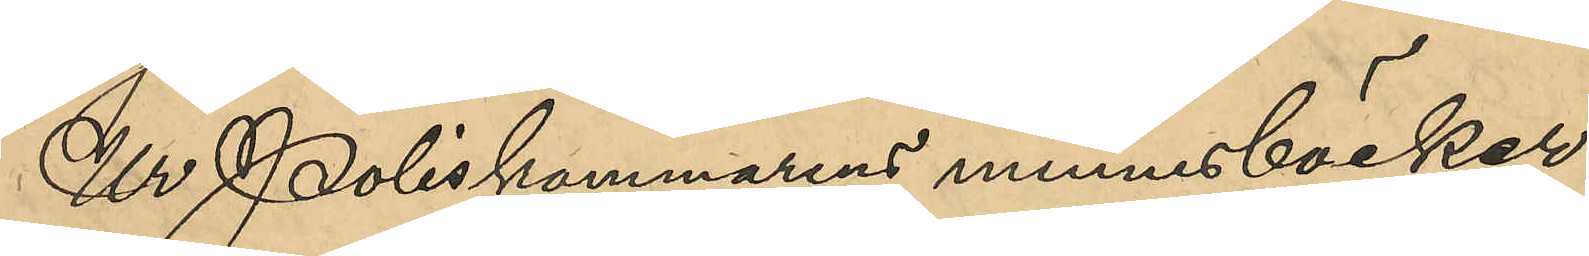Ur Poliskammarens minnesböcker
